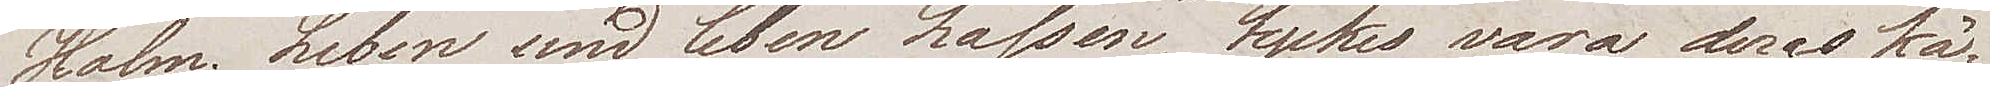Holm. "Leben und leben lassen" tycks vara deras kä¬
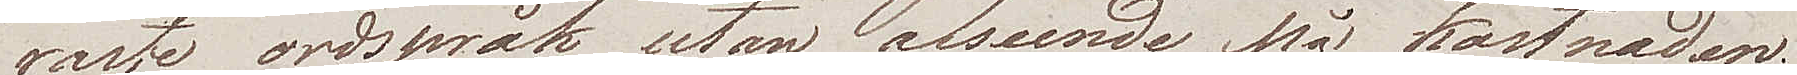raste ordspråk utan afseende på kostnaden.
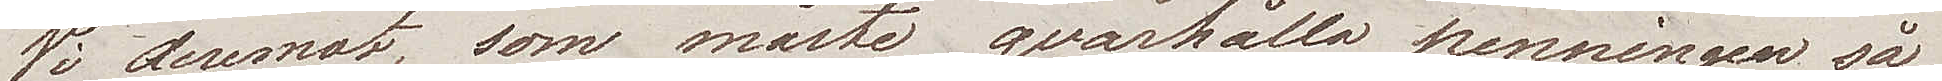Vi deremot, som måste qvarhålla penningen så
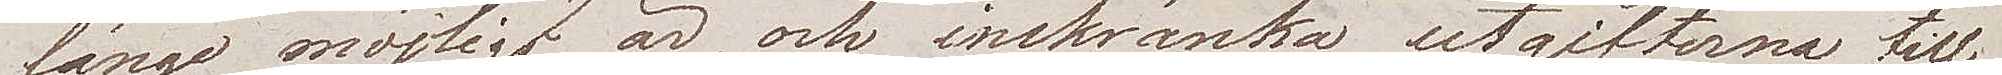länge som möjligt är, och inskränka utgifterna till
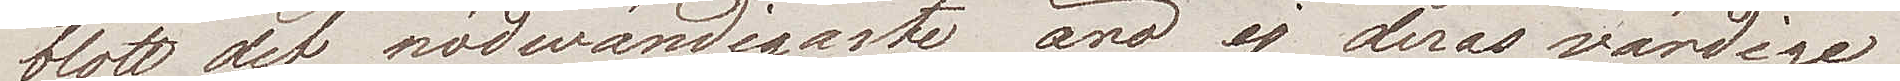blott det nödvändigaste, äro ej deras värdige
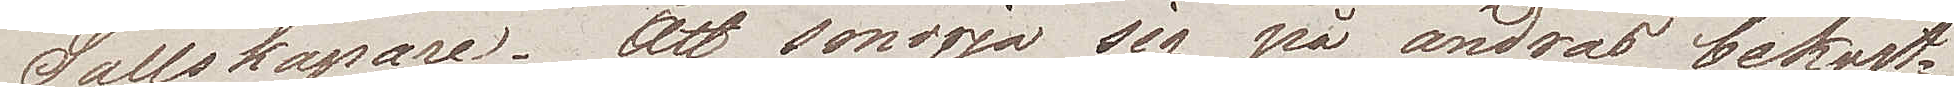Sällskapare. Att smörja sig på andras bekost¬
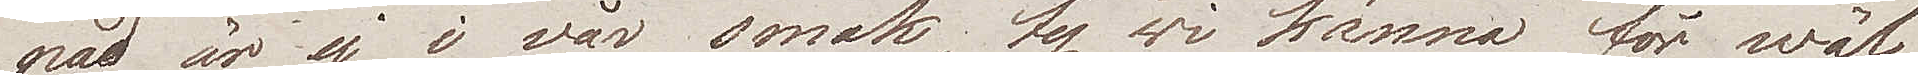nad, är ej i vår smak, ty wi känna för wäl
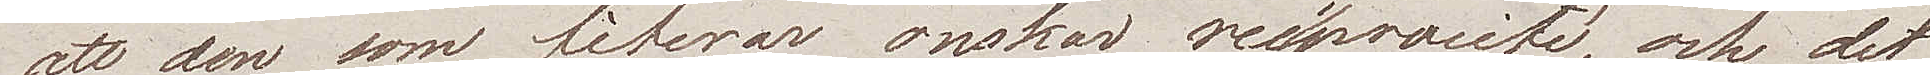att den som fiterar, önskar reciprocité, och det
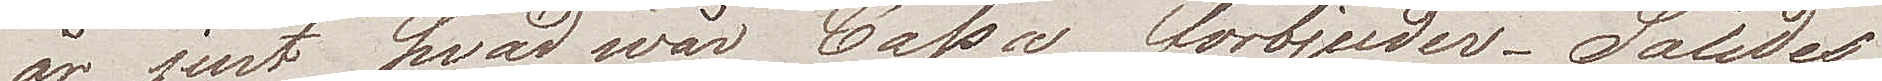är just hvad wår Cassa förbjuder. Således
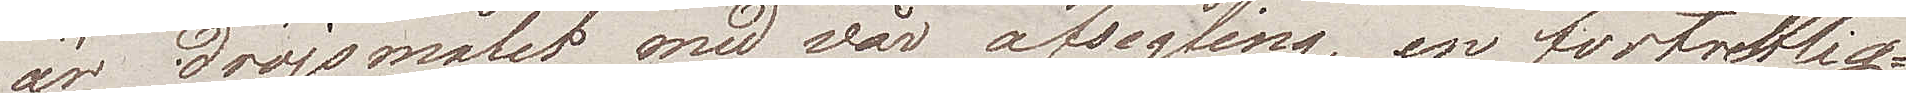är dröjsmålet med vår afsegling en förtretlig¬
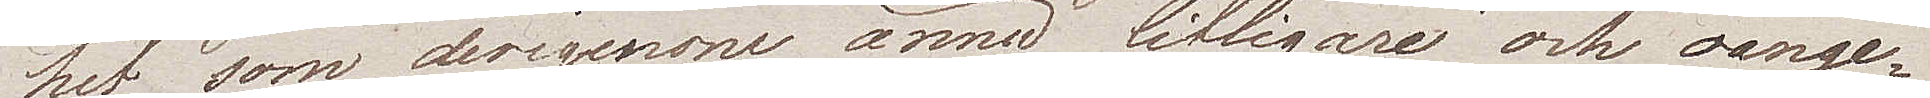het, som derigenom ännu lifligare och oange¬
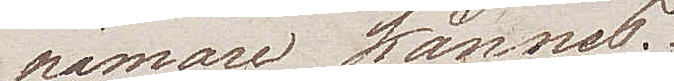nämare kännes.
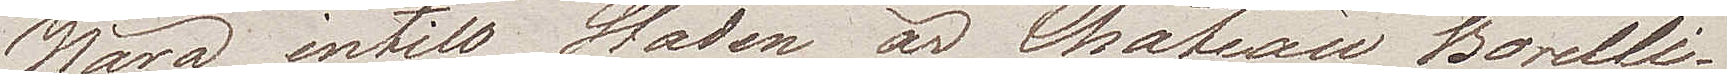Nära intill Staden är Chateau Borelli
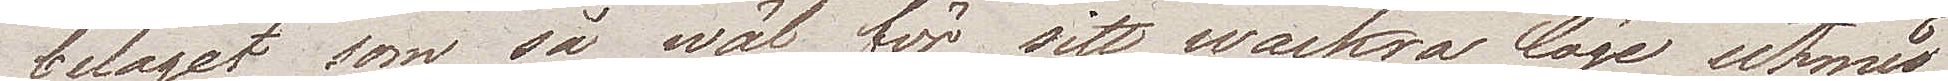beläget, som så wäl för sitt wackra läge utmed
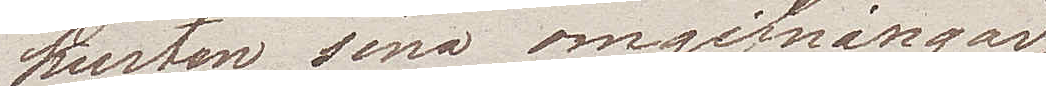kusten, sina omgifningar
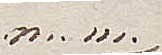m.m.
